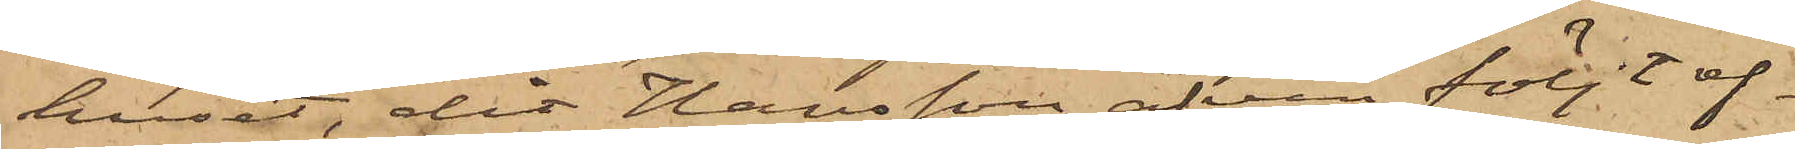huset, dit Hansson äfven följt ef¬
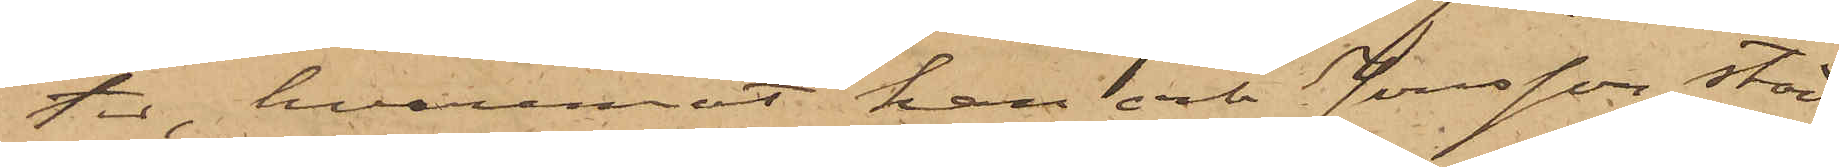ter, hvaremot han och Jonsson stad¬
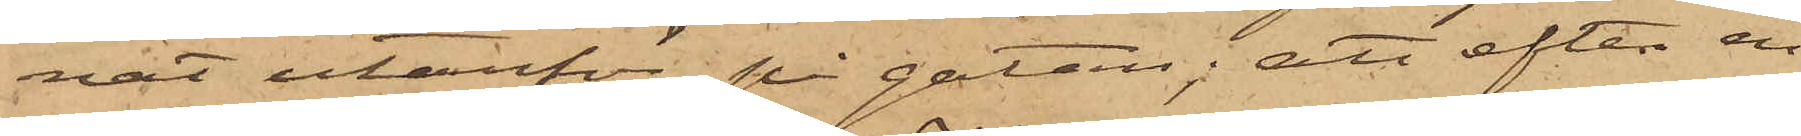nat utanför på gatan; att efter en
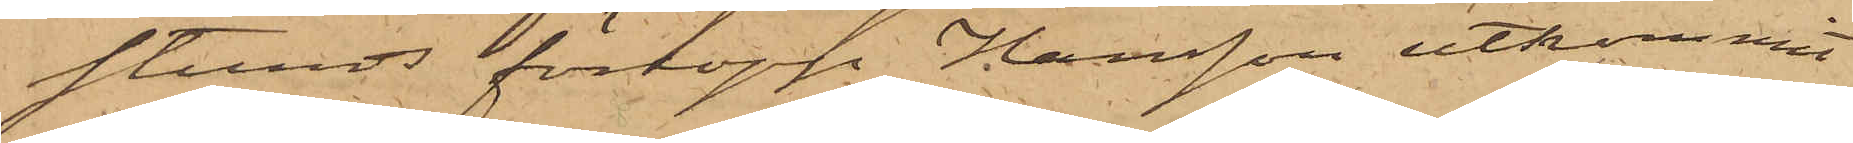stunds förlopp, Hansson utkommit
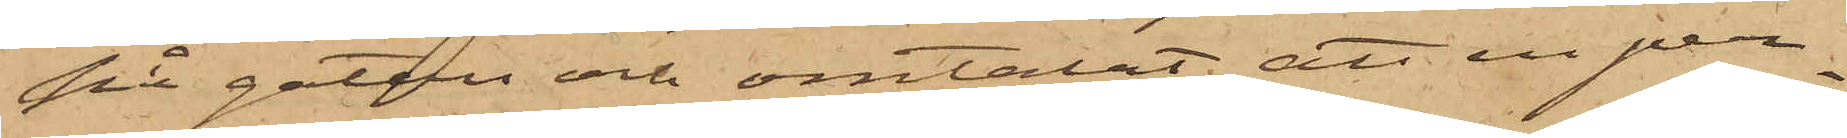på gatan och omtalat att en per¬
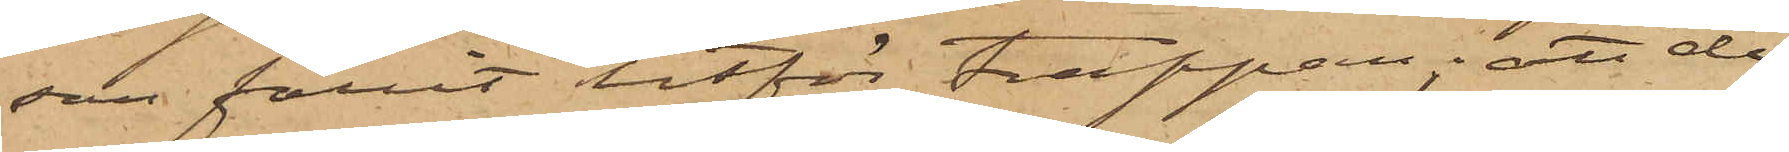son fallit utför trappan; att de
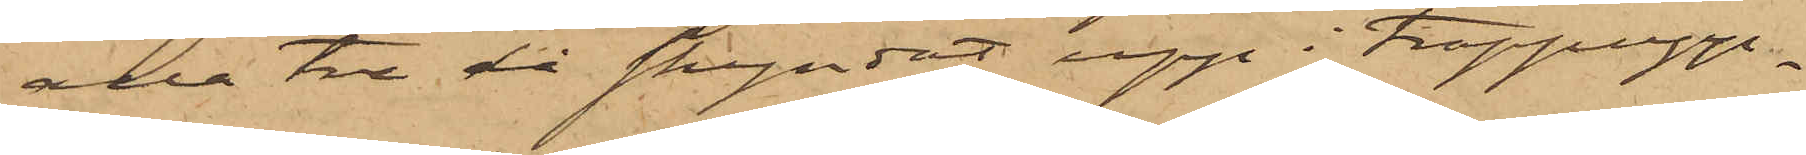alla tre då skyndat upp i trappupp¬
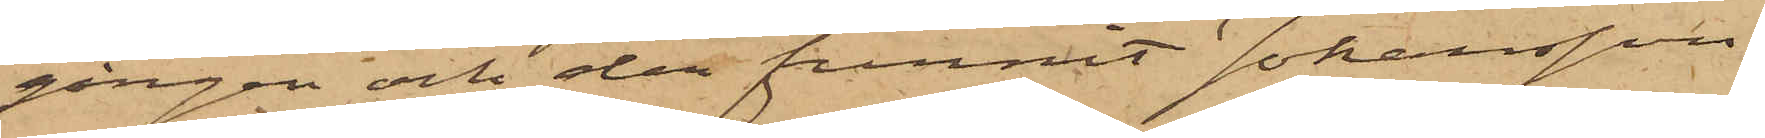gången och der funnit Johansson
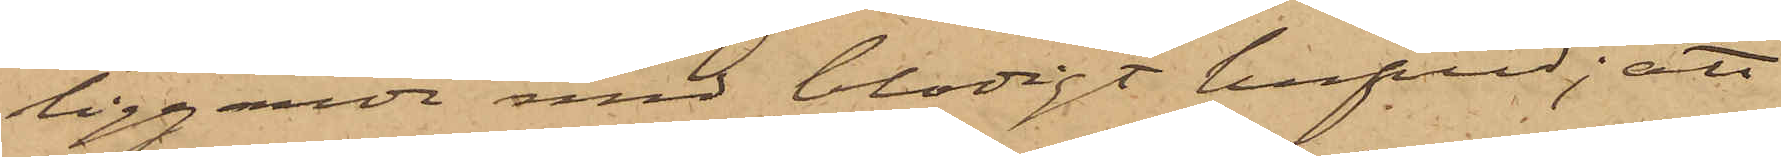liggande med blodigt hufvud; att
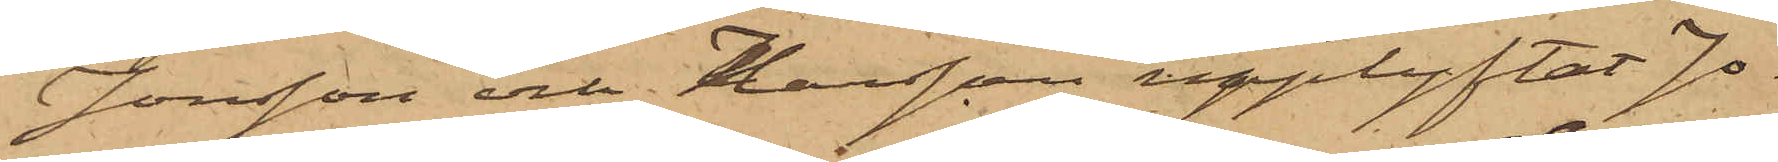Jonsson och Hansson upplyftat Jo¬
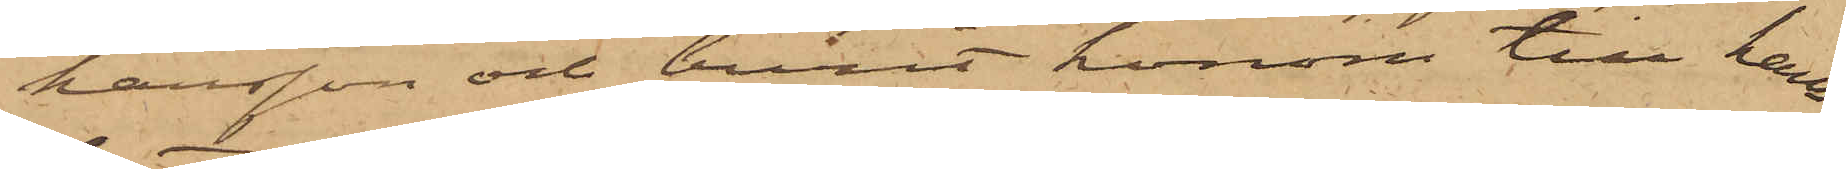hansson och burit honom till hans
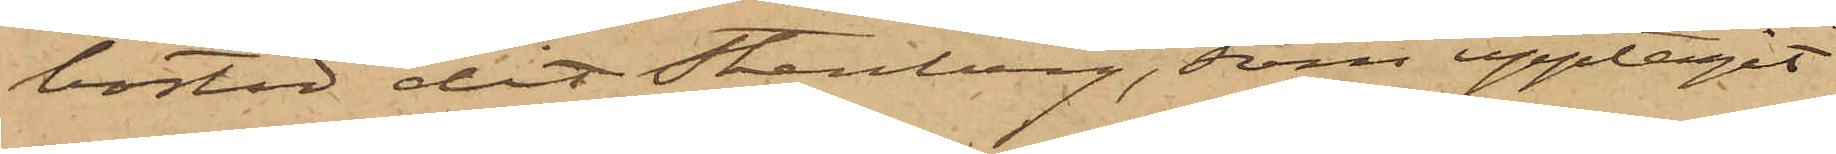bostad dit Stenberg, som upptagit
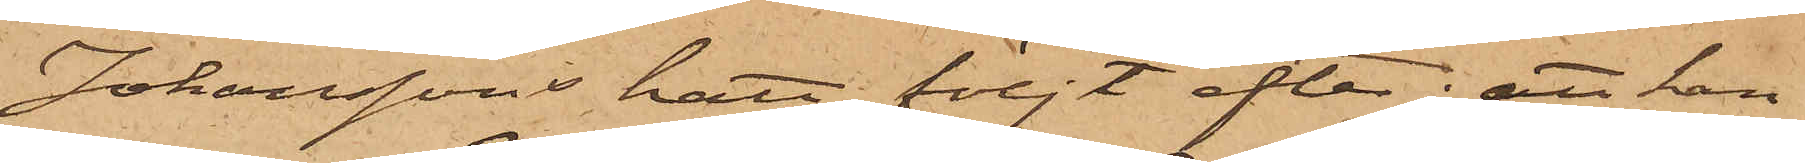Johanssons hatt, följt efter; att han
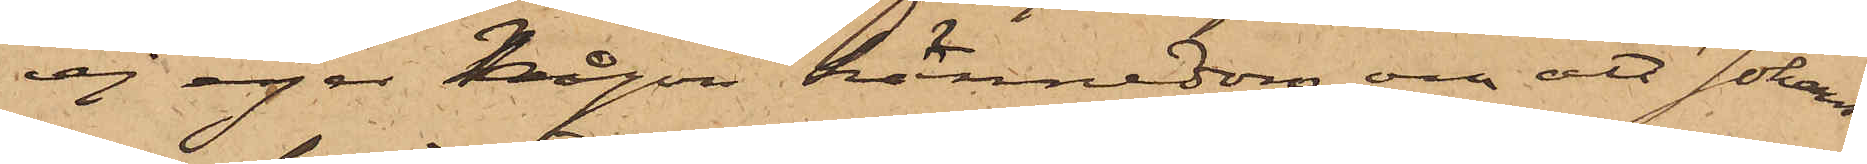ej eger någon kännedom om att Johans¬
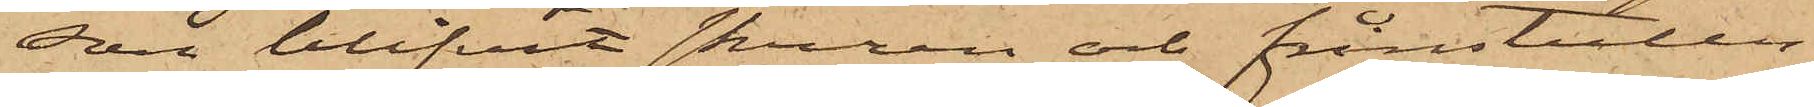son blifvit skuren och frånstulen
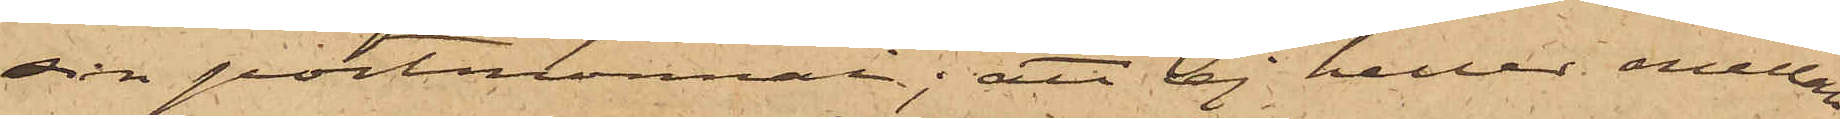sin portmonnai; att ej heller emellan
